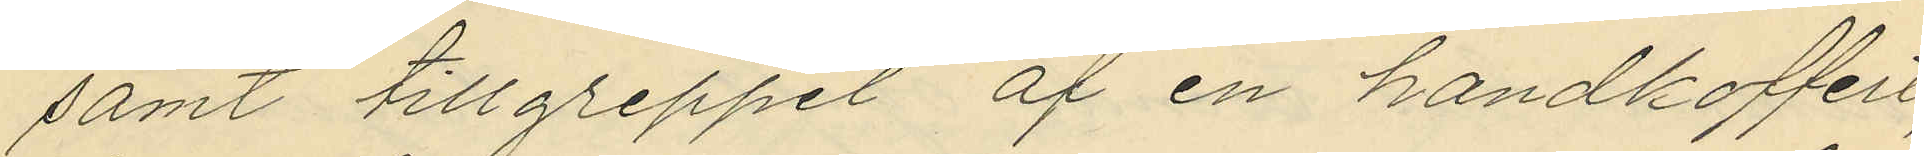samt tillgreppet af en handkoffert,
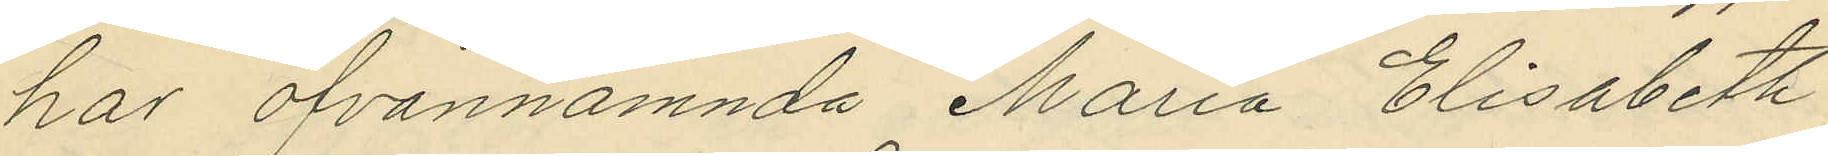hos ofvannämnda Maria Elisabeth
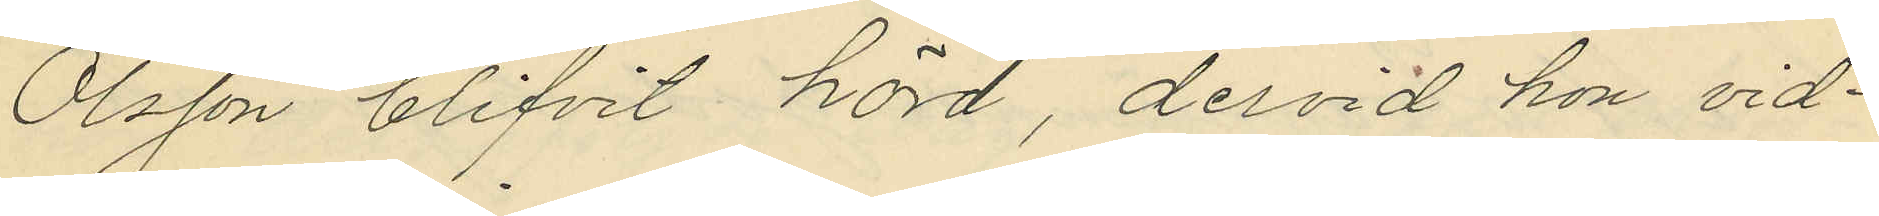Olsson blifvit hörd, dervid hon vid¬
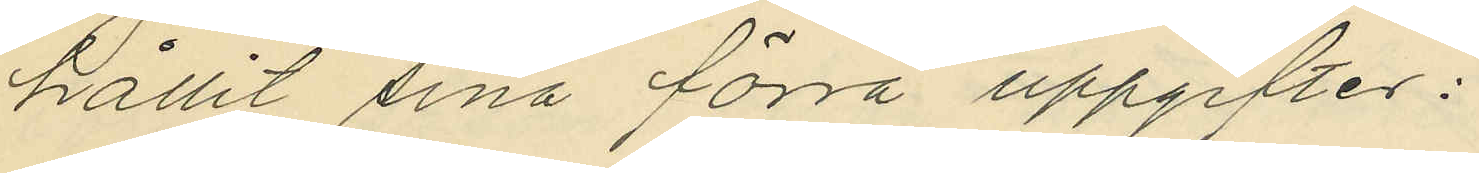hållit sina förra uppgifter:
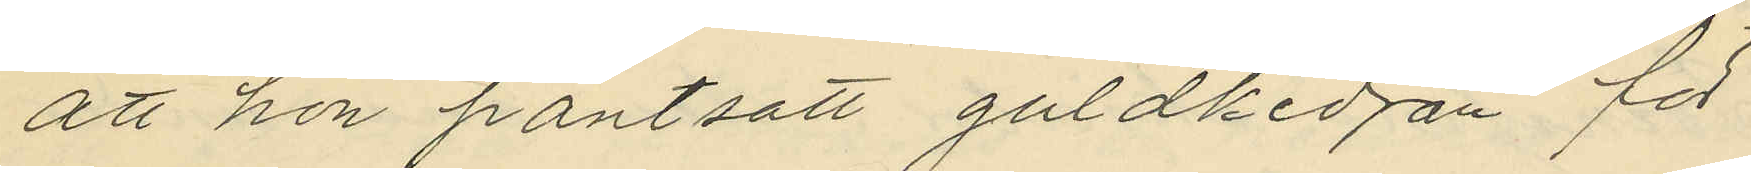att hon pantsatt guldkedjan för
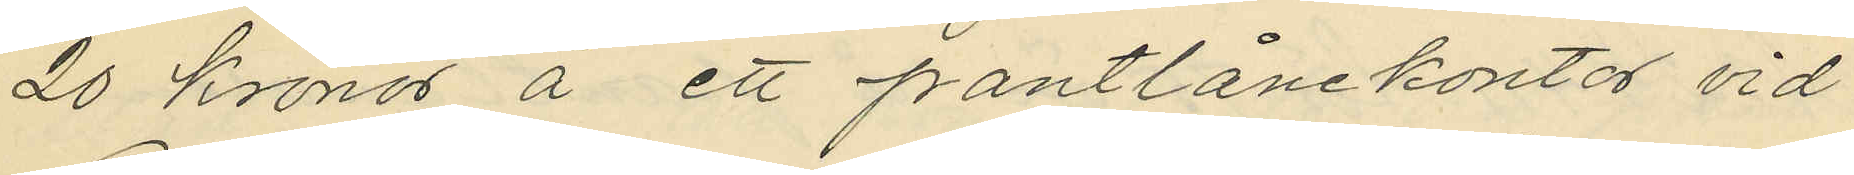20 Kronor å ett pantlånekontor vid
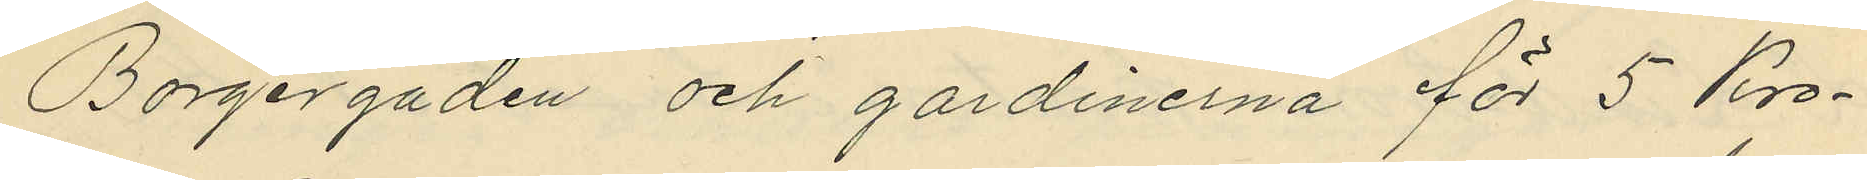Borgergaden och gardinerna för 5 Kro¬
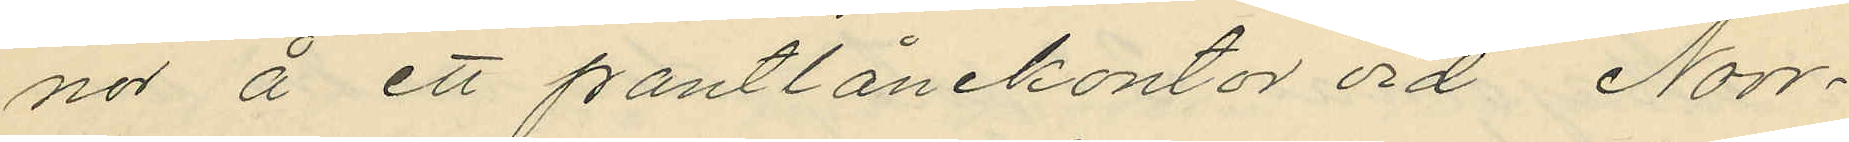nor å ett pantlånekontor vid Norr¬
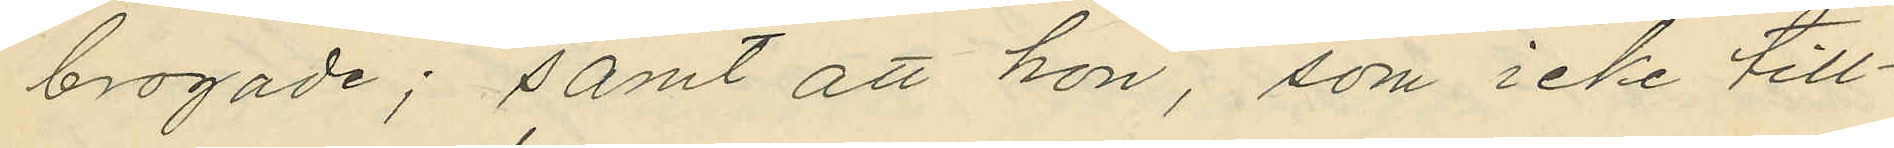brogade; samt att hon, som icke till¬
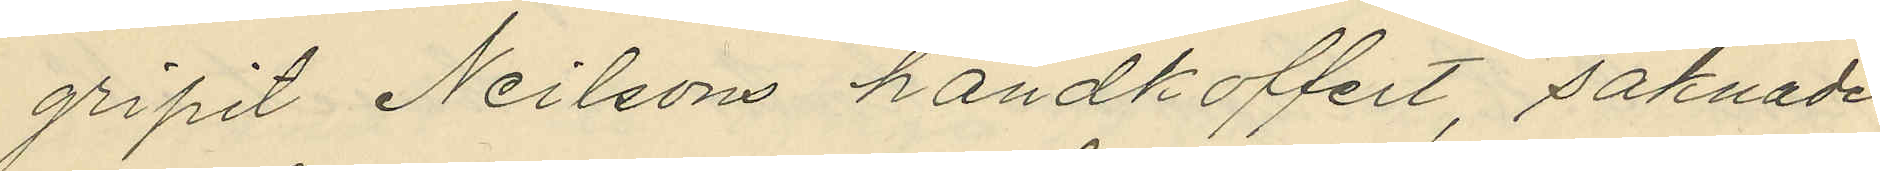gripit Neilsons handkoffert, saknade
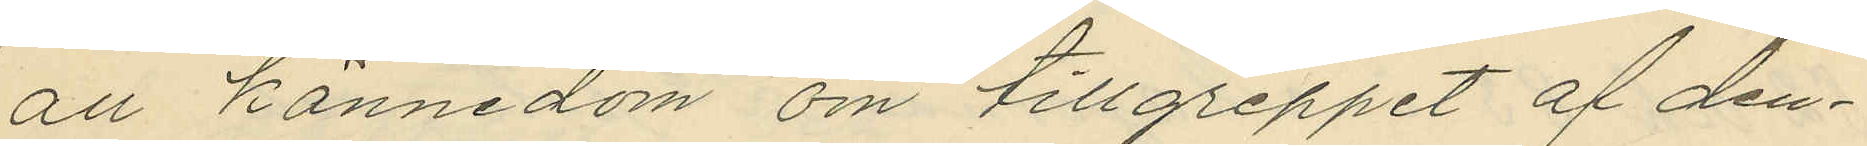all kännedom om tillgreppet af den¬
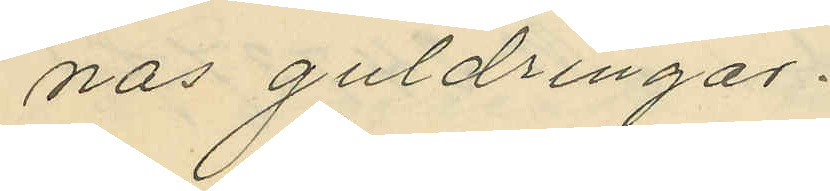nas guldringar.
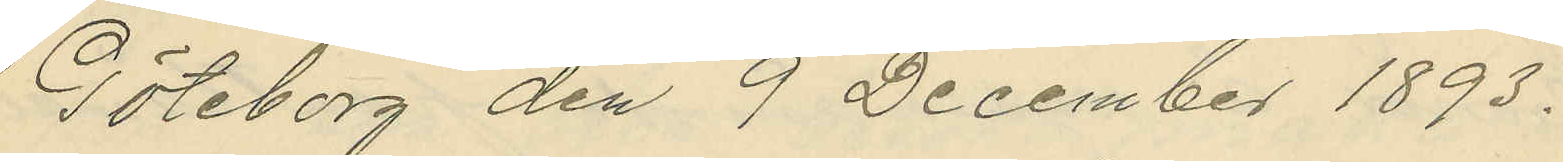Göteborg den 9 December 1893.
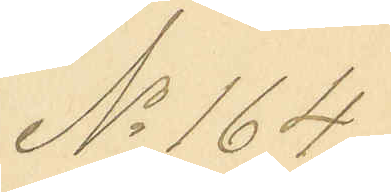No 164.
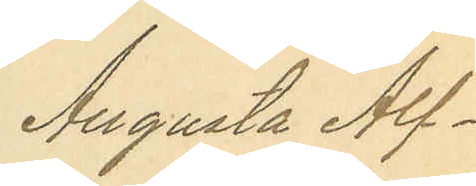Augusta Alf¬
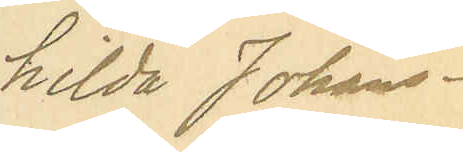hilda Johans¬
